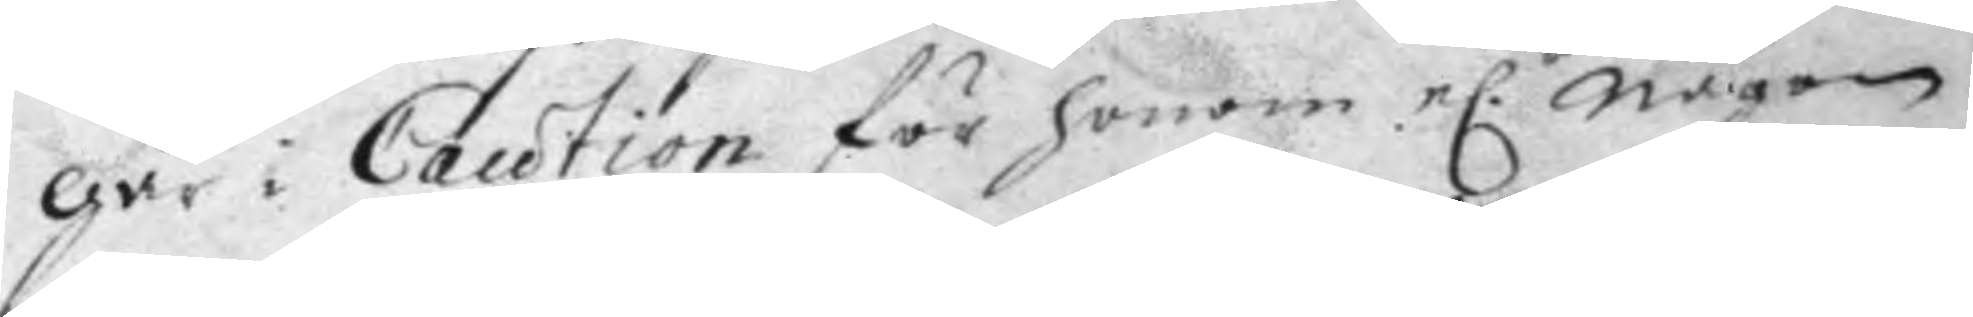går i Caution för honom e.r någon 
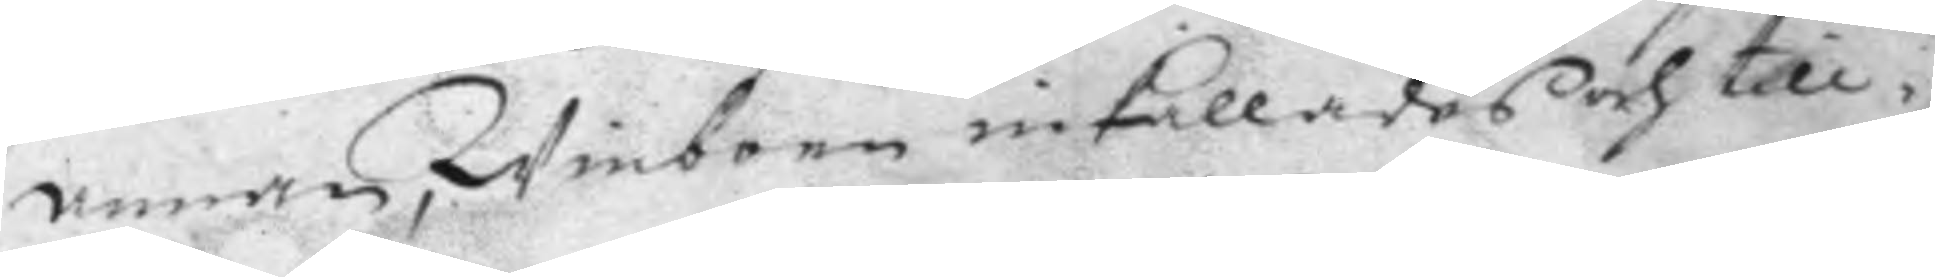annan, Winboen inkallades och till¬
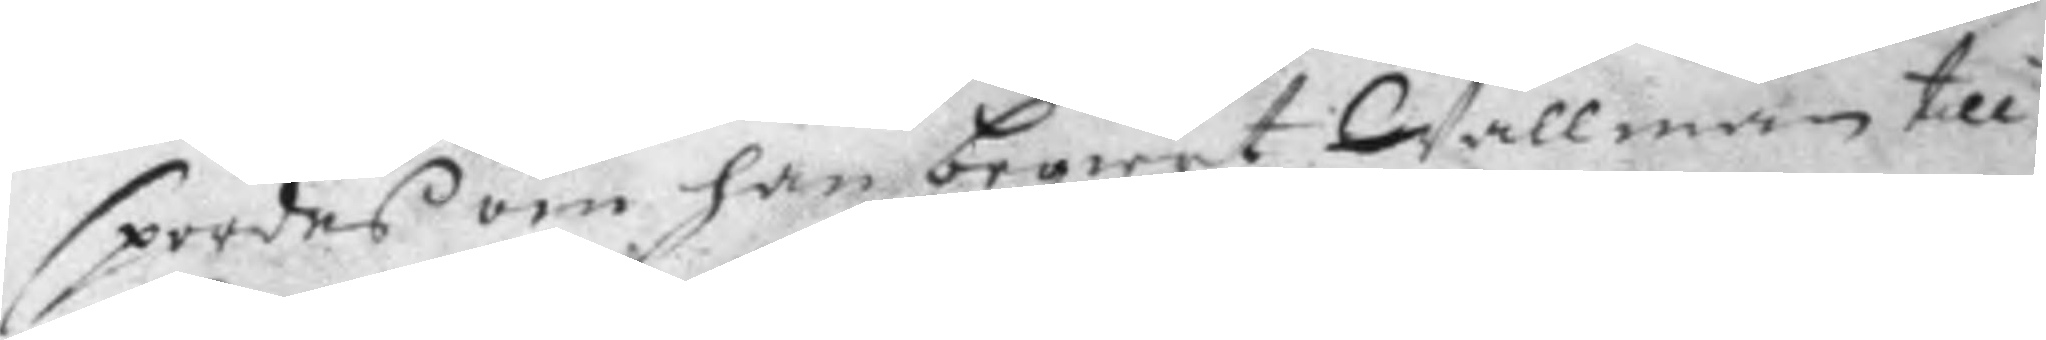spordes om han begiärt Wallman till
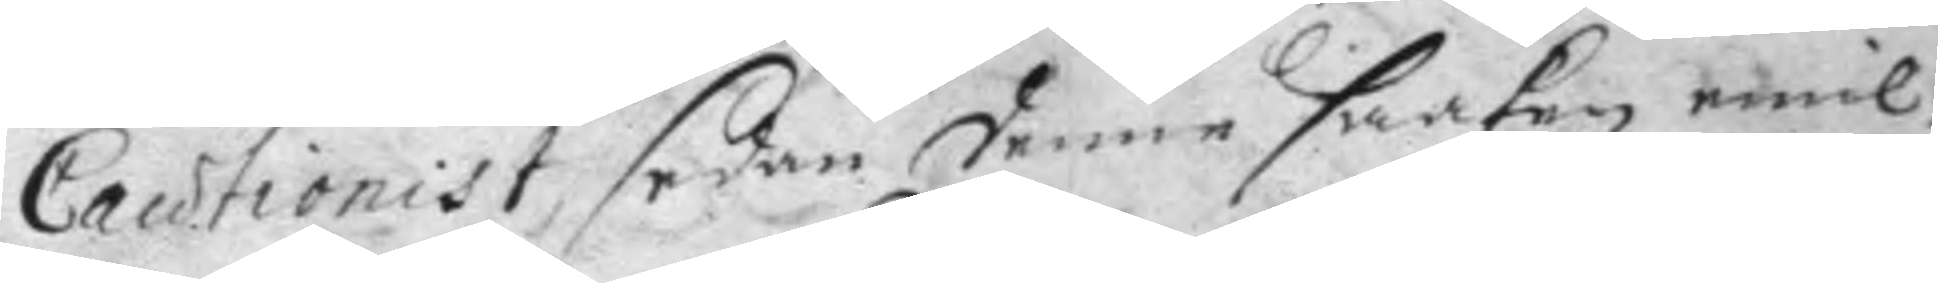Cautionist, sedan denne saaken emil¬
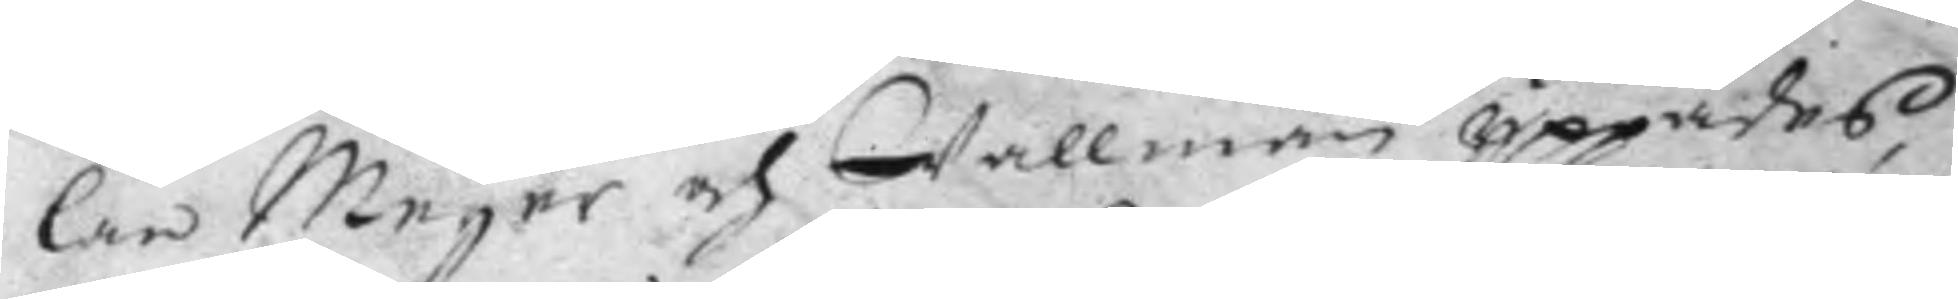lan Meyer och Wallman yppades
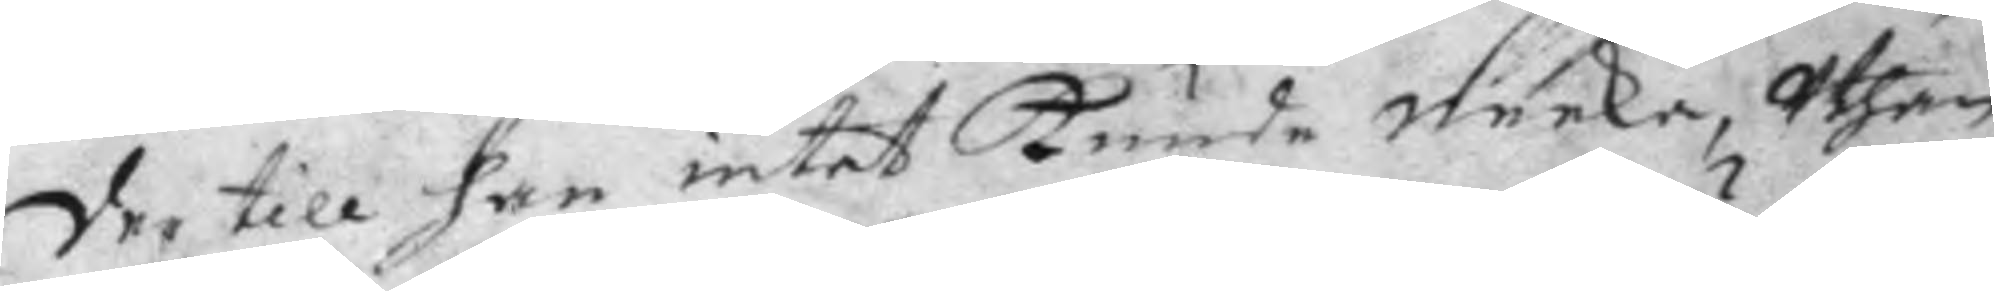der till han intet kunde neeka, Uthan
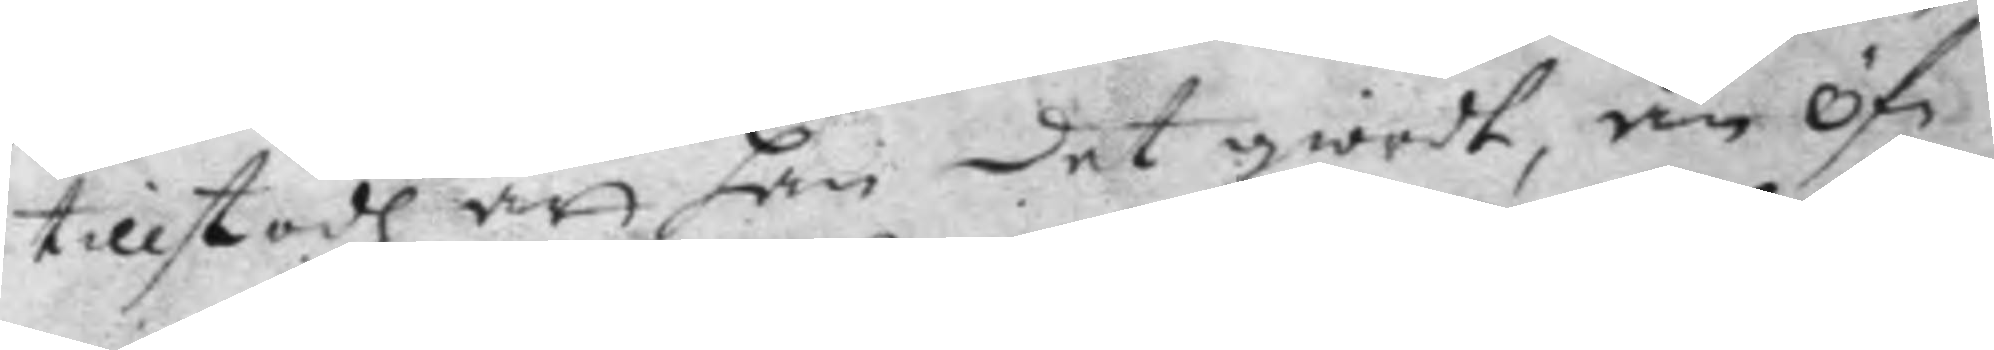tillstodh att han det giordt, än Öf¬
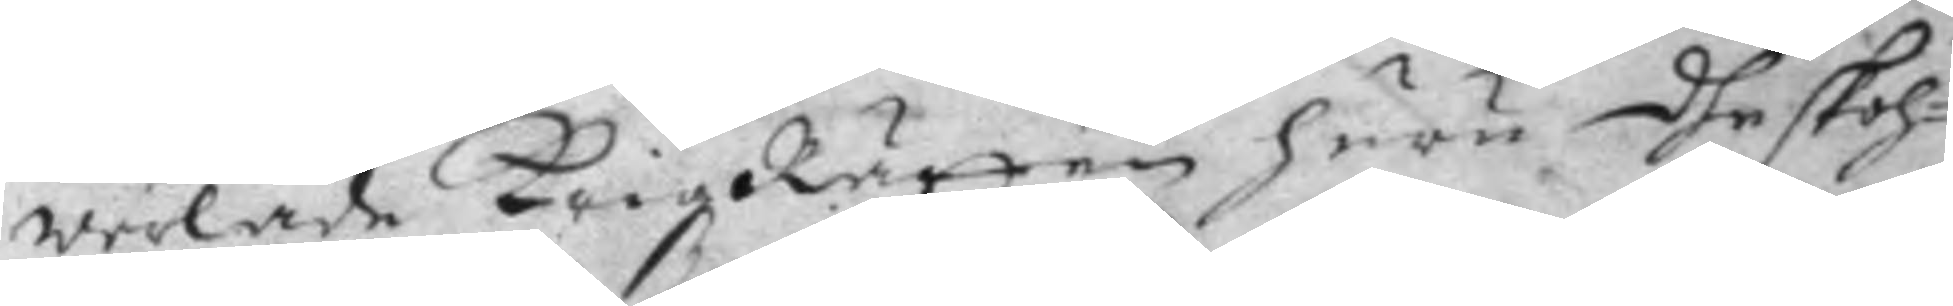werlade KrigzRätten huru dhe skoh¬
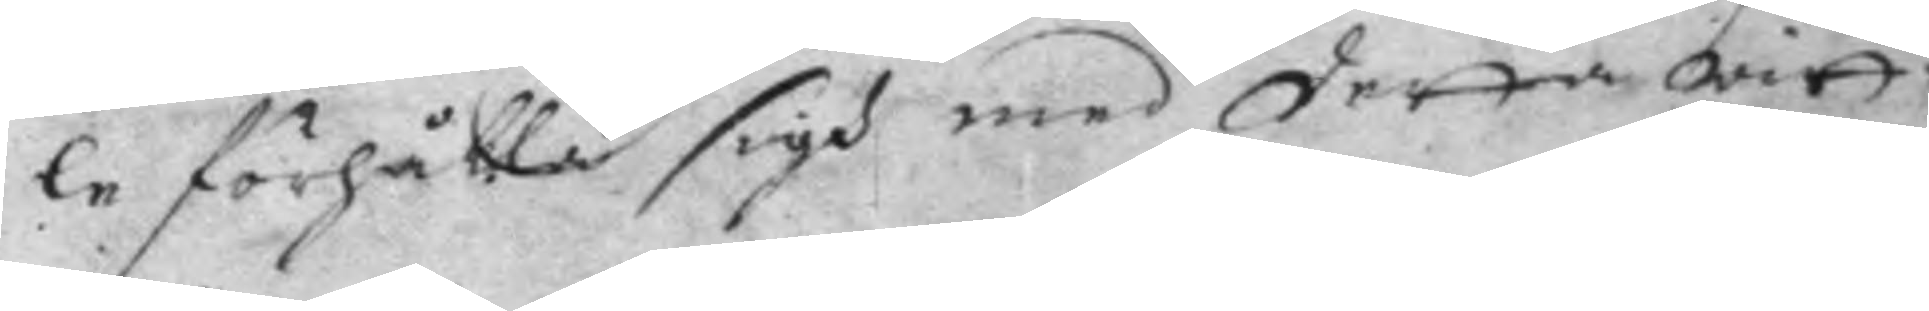le förhålla sigh med detta witt¬
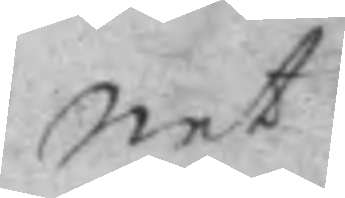net
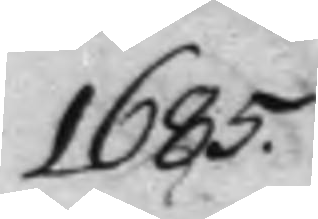1685.
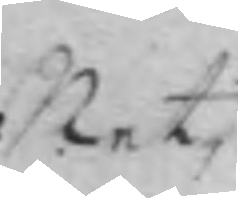Net
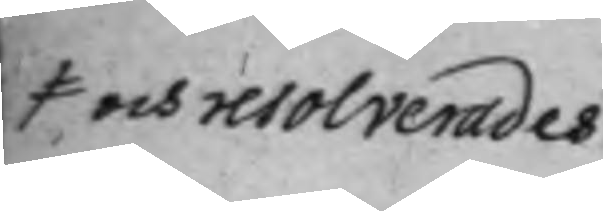och resolverades
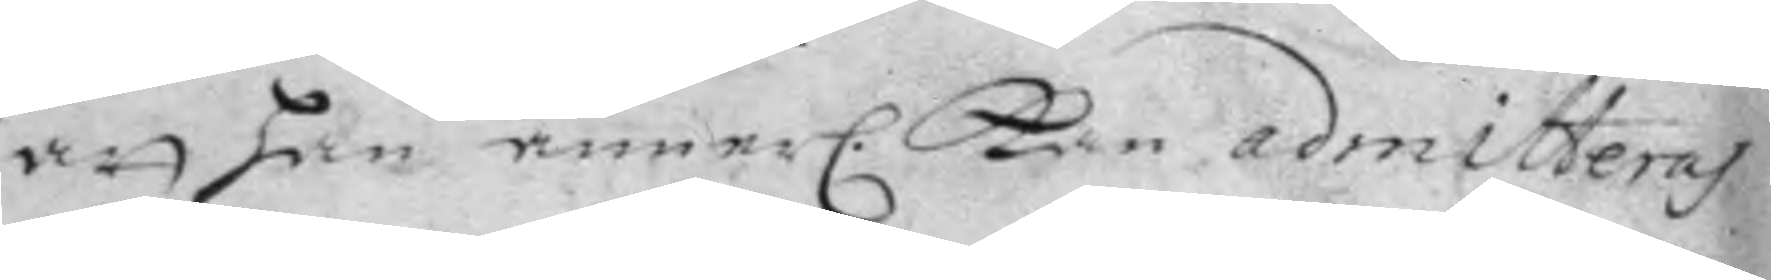att han anner. kan admitteras 
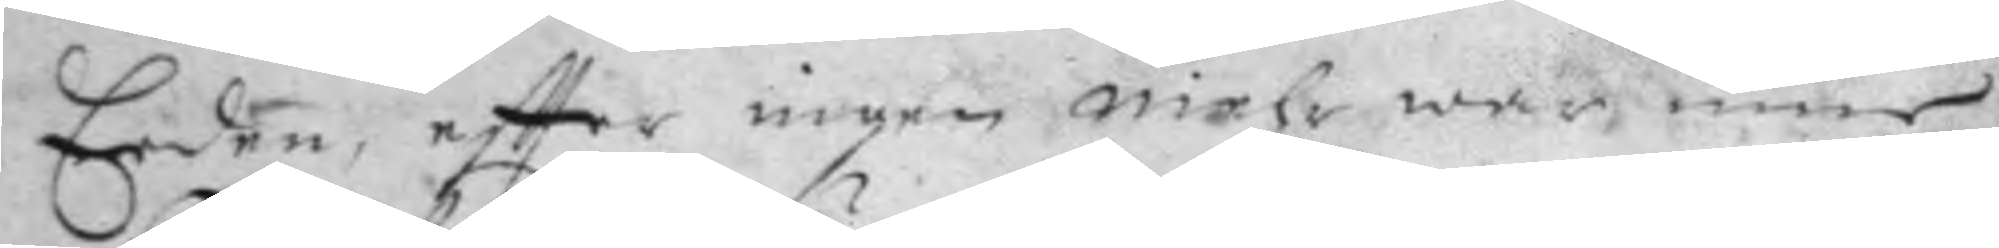Eeden, eftter ingen mehr war inne
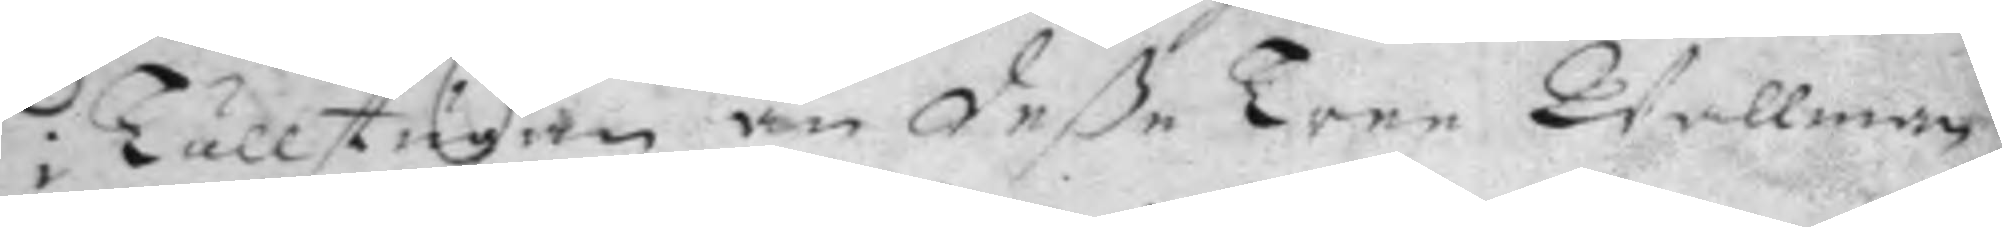i Tullstugan än deße Tree Wallman
